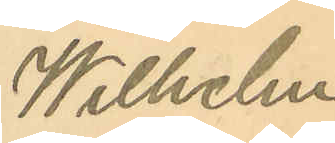Wilhelm
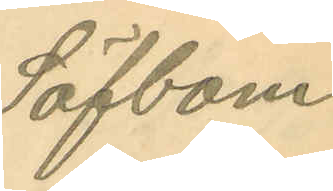Säfbom.
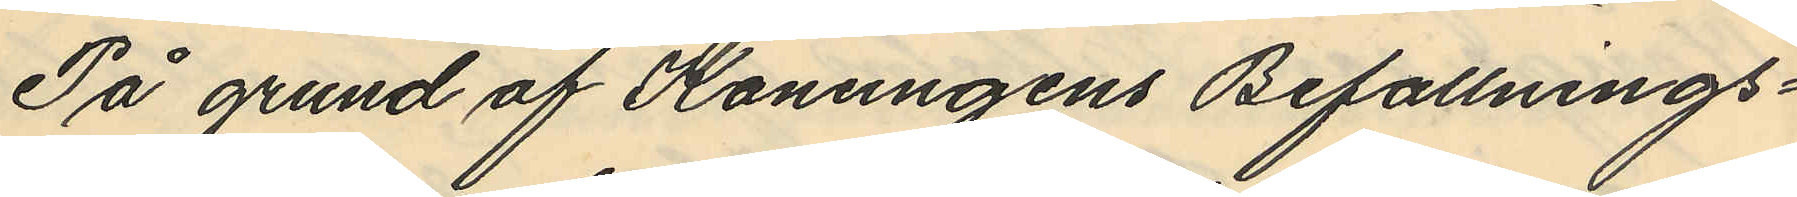På grund af Konungens Befallnings¬
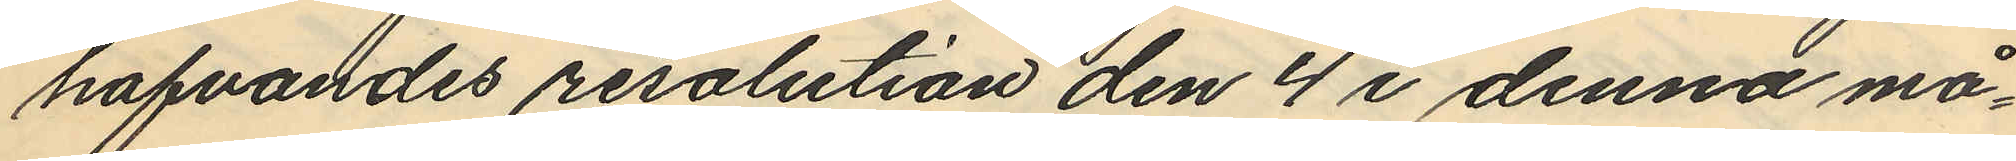hafvades resolution den 4 i denna må¬
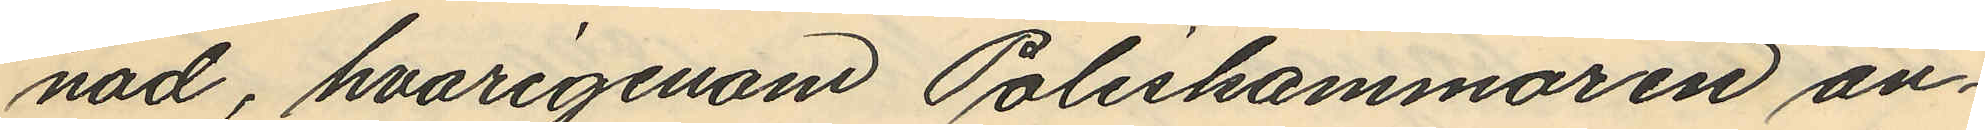nad, hvarigenom Poliskammaren an¬
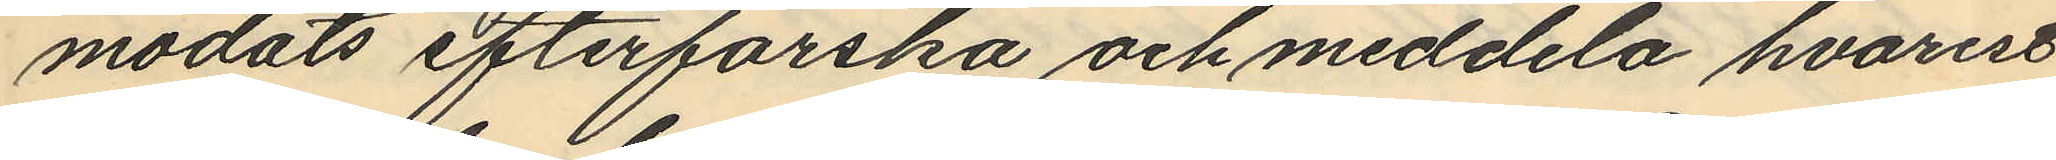modats efterforska och meddela hvarest
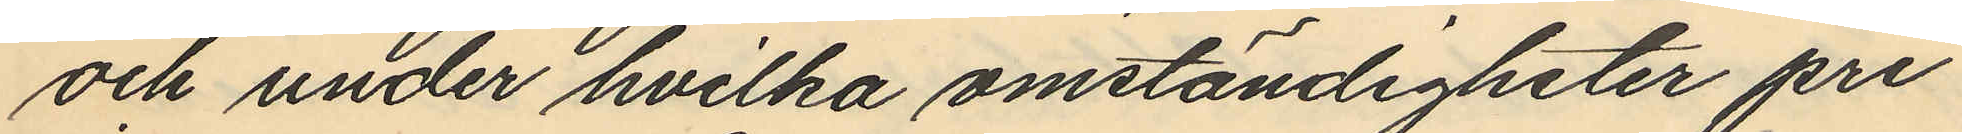och under hvilka omständigheter pri¬
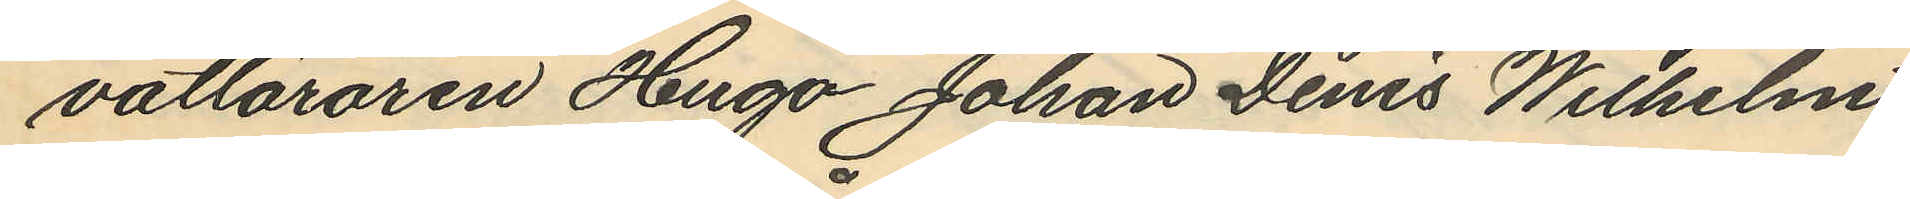vatläraren Hugo Johan Denis Wilhelm
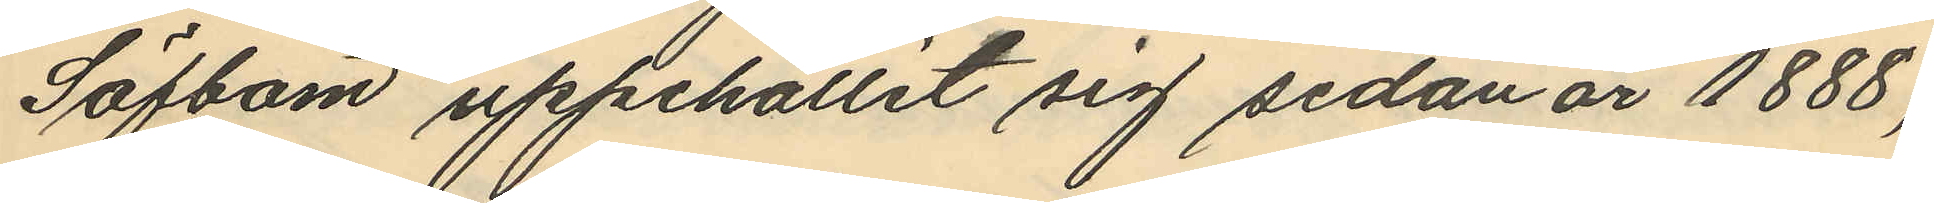Säfbom uppehållit sig sedan år 1888,
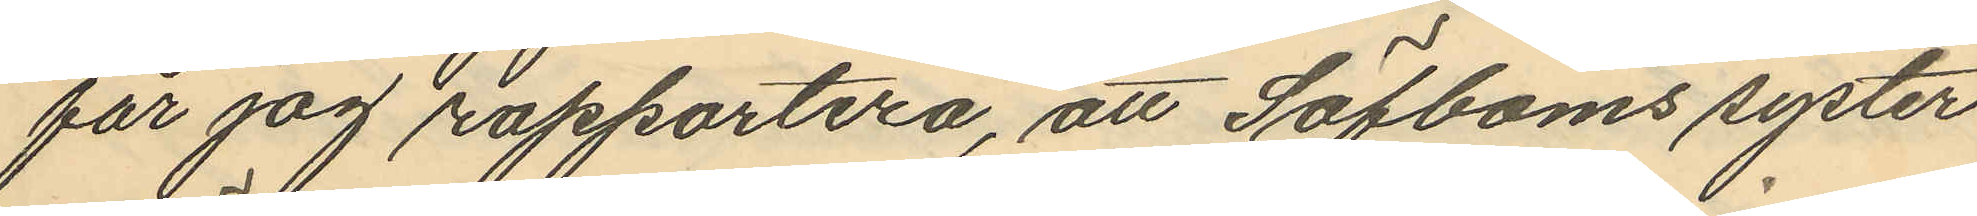får jag rapportera, att Säfboms syster
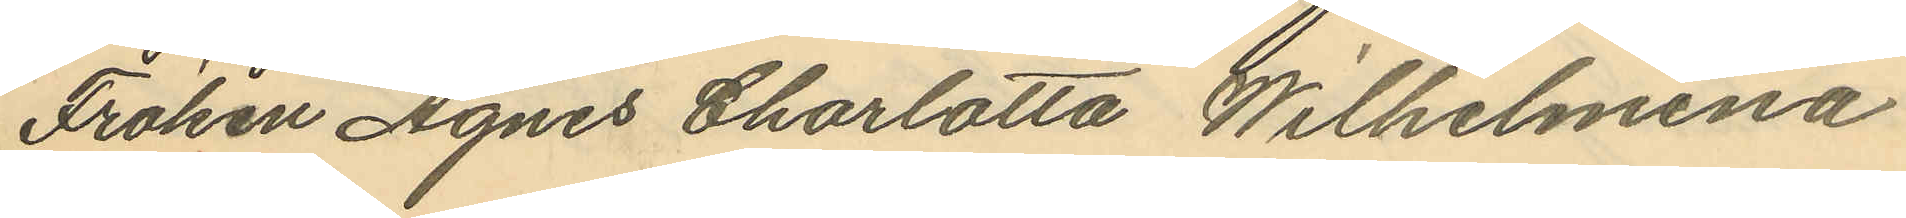Fröken Agnes Charlotta Wilhelmina
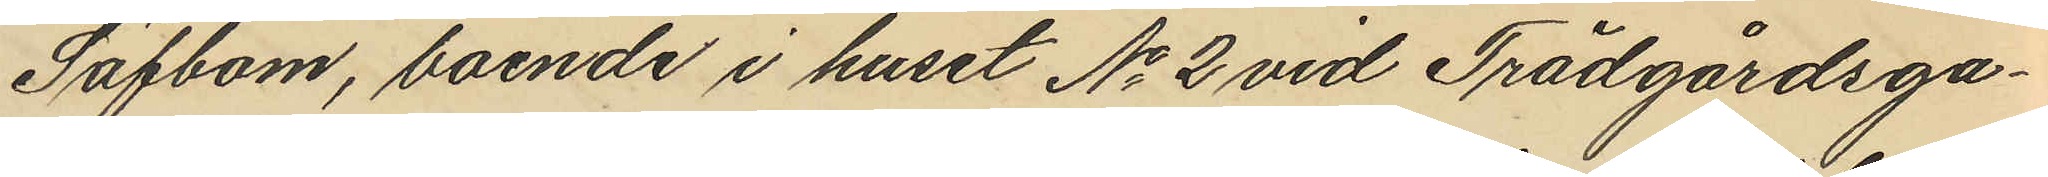Säfbom, boende i huset No 2 vid Trädgårdsga¬
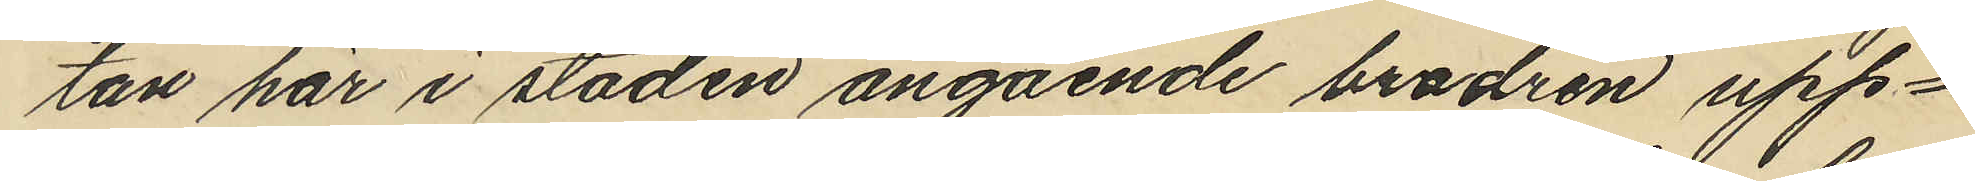tan här i staden angående brodren upp¬
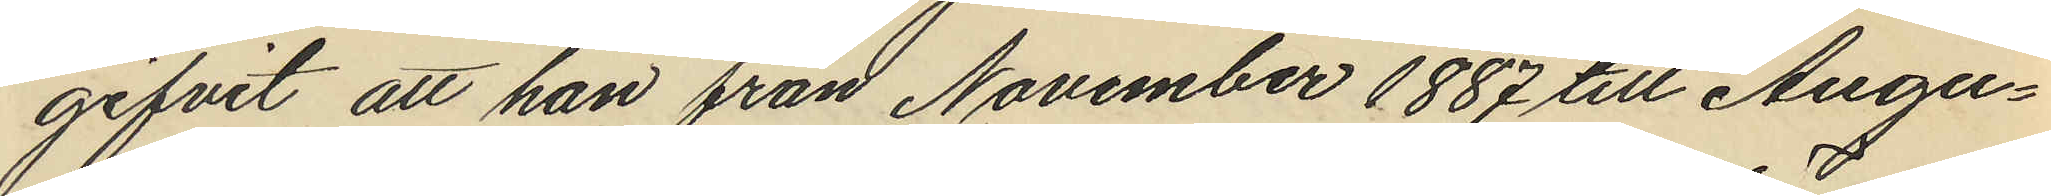gifvit att han från November 1887 till Augu¬
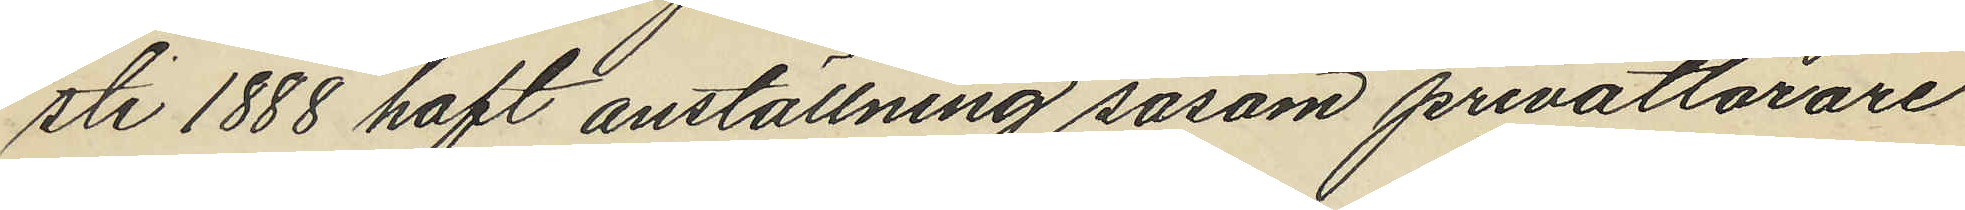sti 1888 haft anställning såsom privatlärare
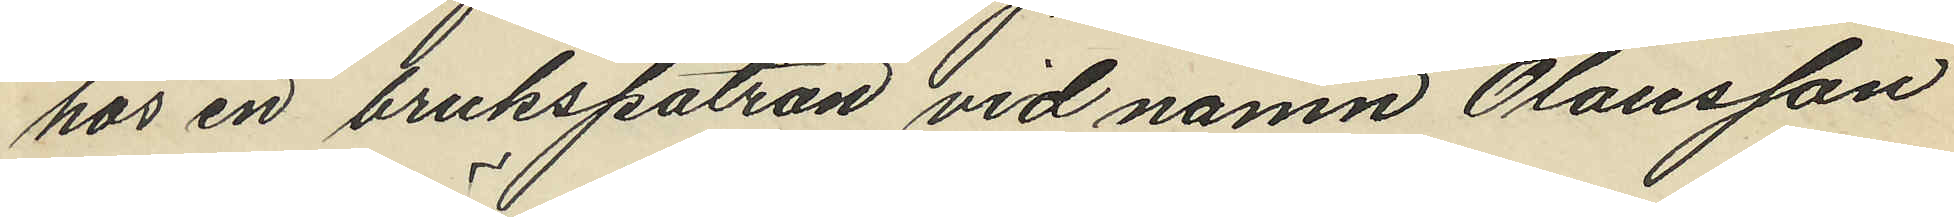hos en brukspatron vid namn Olausson
